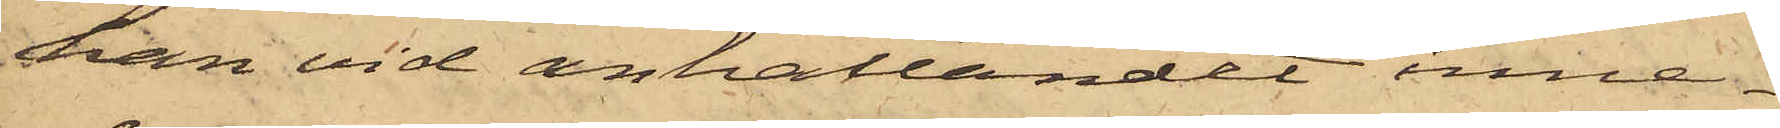han vid anhållandet inne¬
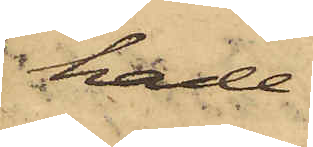hade.
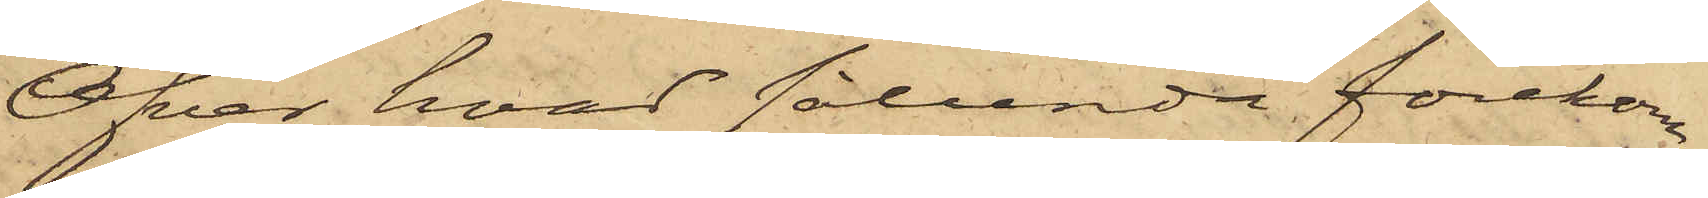Öfver hvad sålunda förekom¬
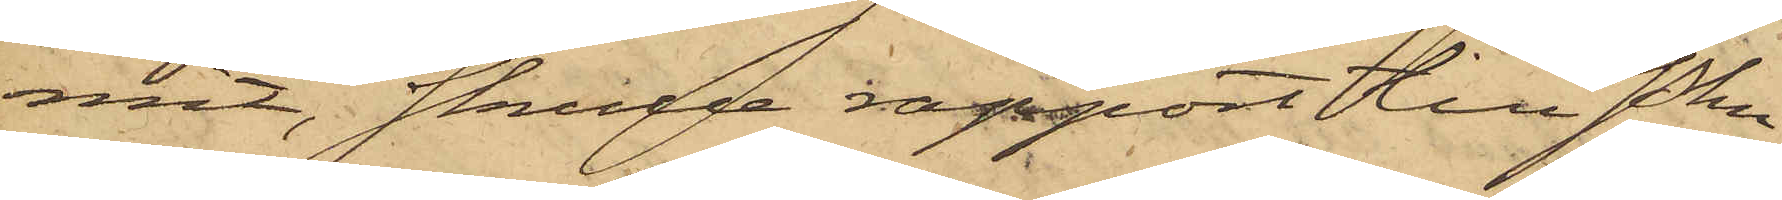mit, skulle rapport till Pkn
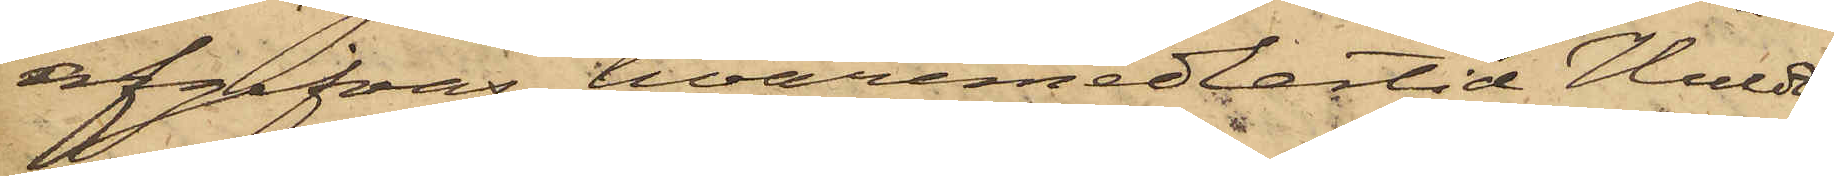afgifvas, hvaremedlertid Huldt
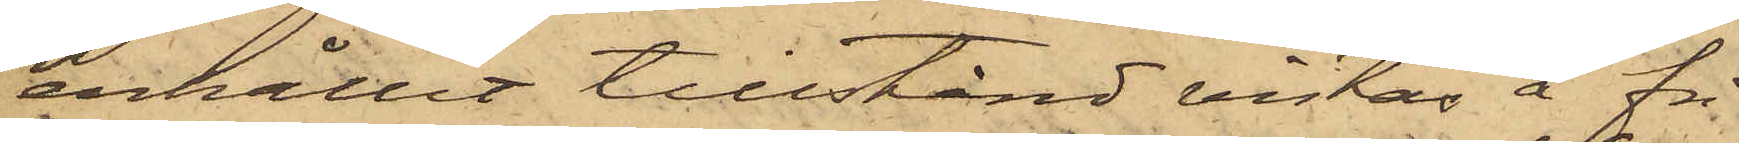erhållit tillstånd vistas å fri
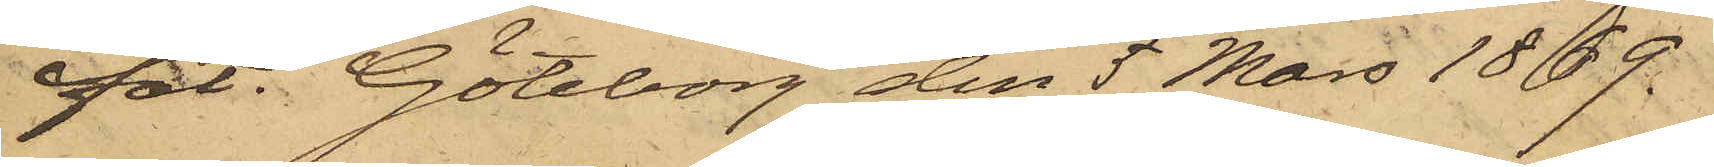fot. Göteborg den 5 Mars 1869.
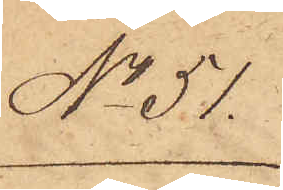No 51.
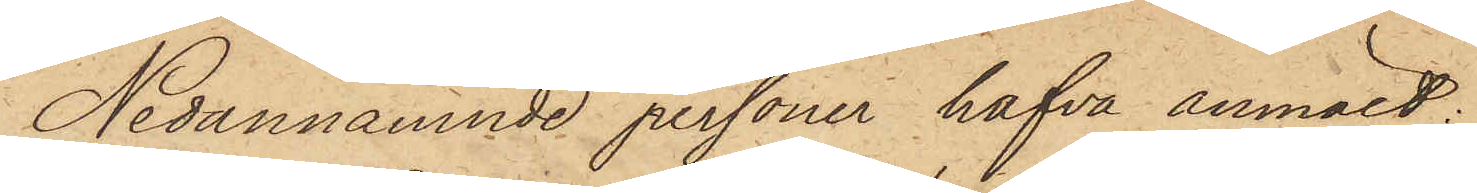Nedannämnde personer hafva anmält:
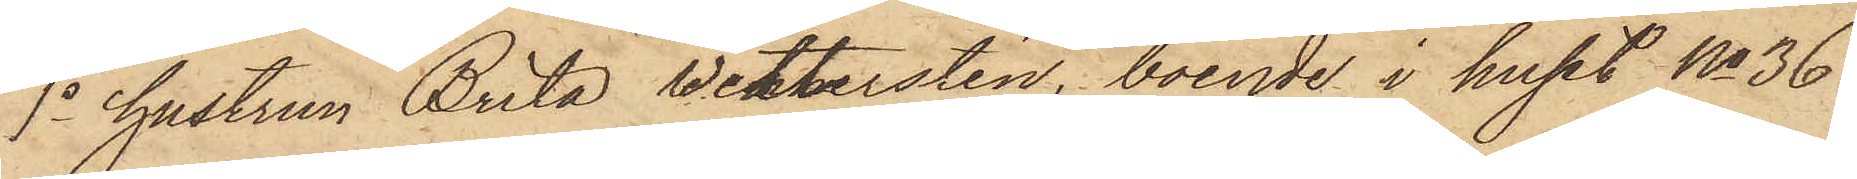1o hustrun Brita Wetterstén, boende i huset No 36
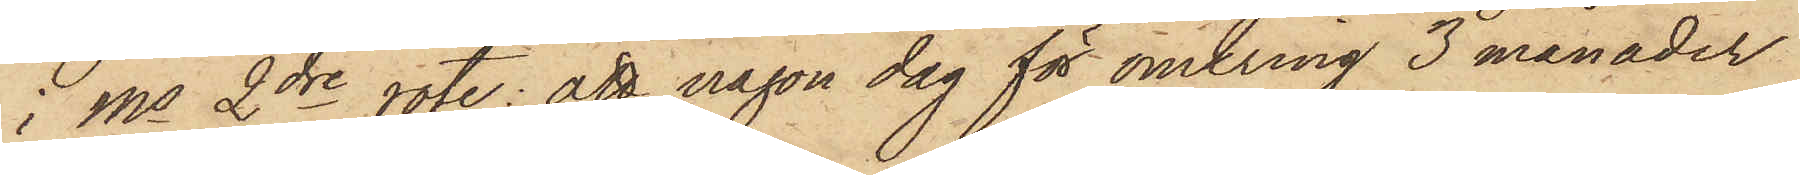i Ms 2dre rote: att någon dag för omkring 3 månader
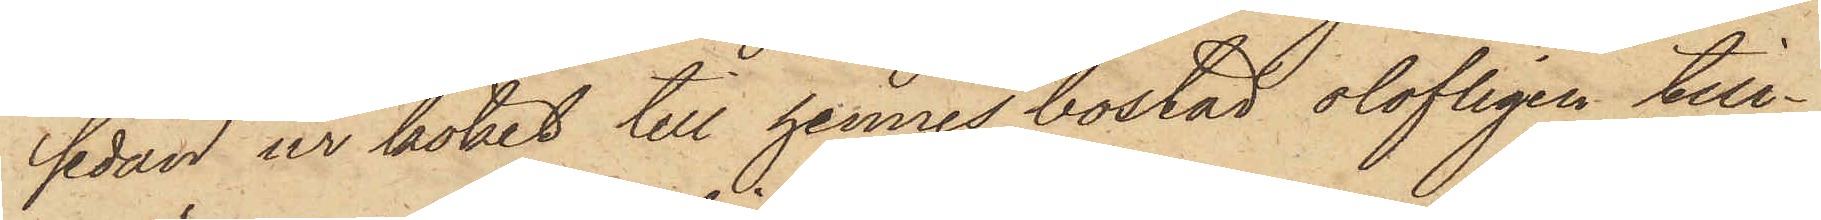sedan ur köket till hennes bostad olofligen till¬
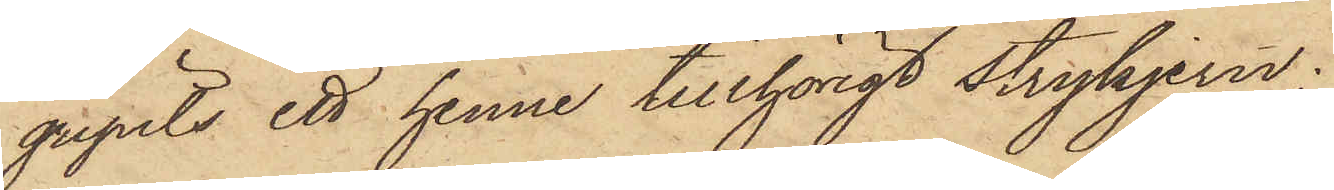gripits ett henne tillhörigt strykjern;
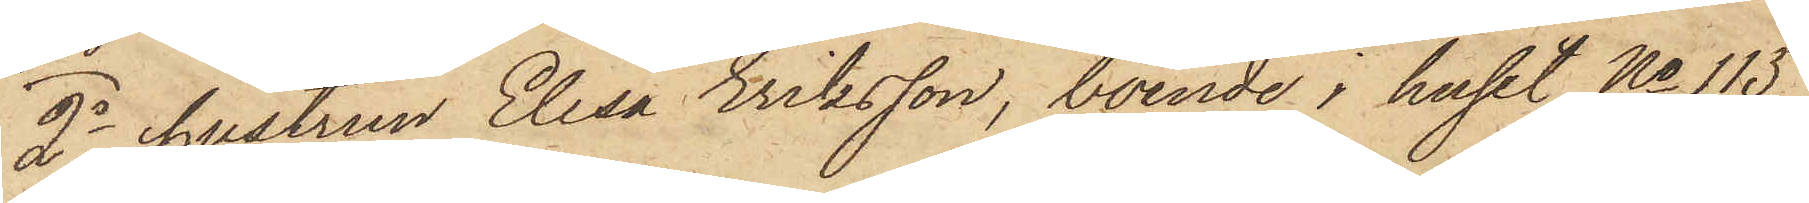2o hustrun Elisa Eriksson, boende i huset No 115
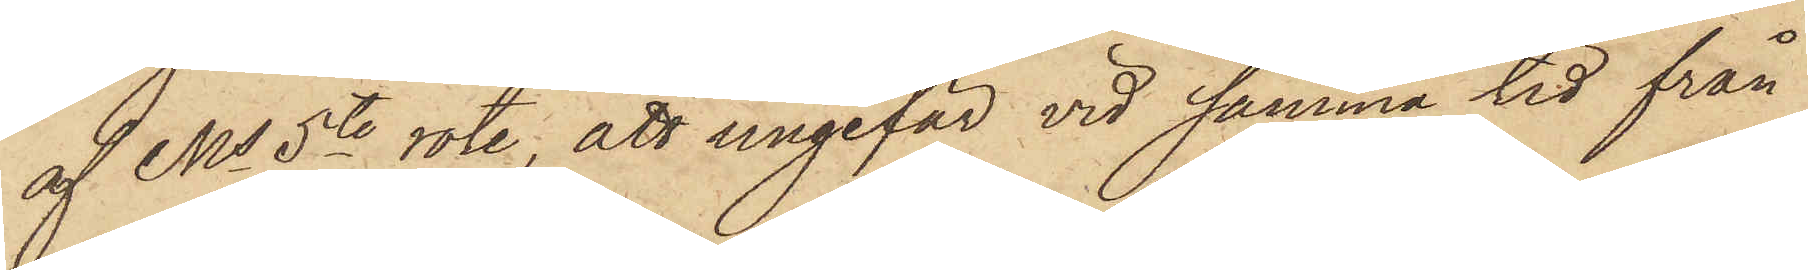af Ms 5te rote, att ungefär vid samma tid från
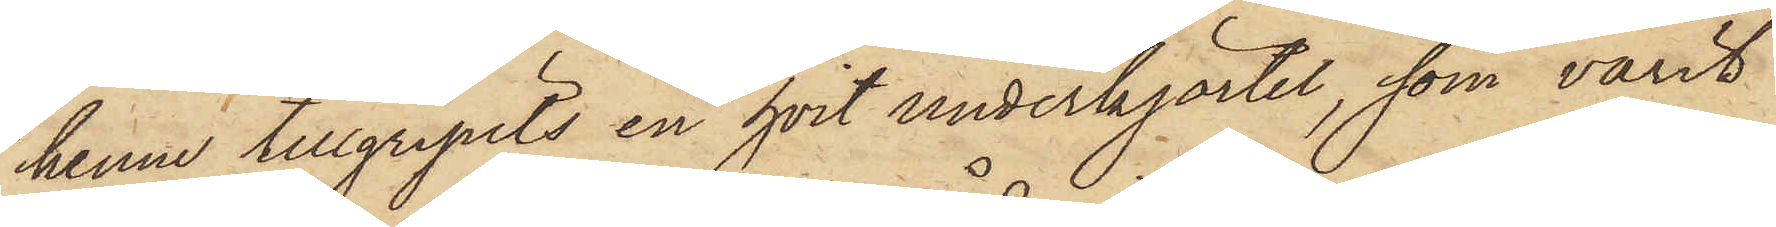henne tillgripits en hvit underkjortel, som varit
